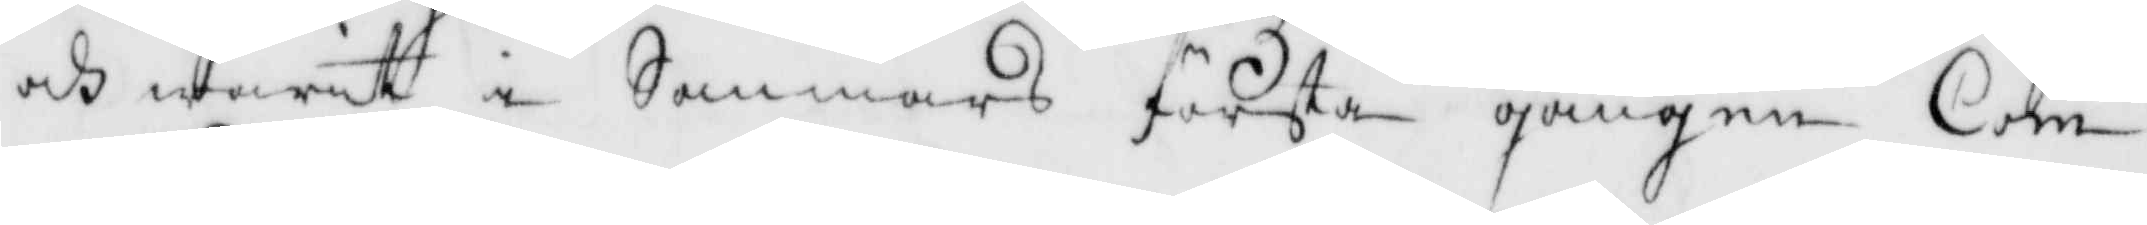och warit i Sommars första gången Com¬
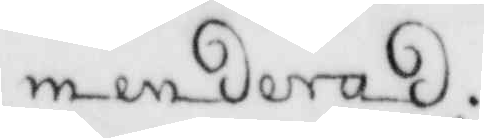menderad.
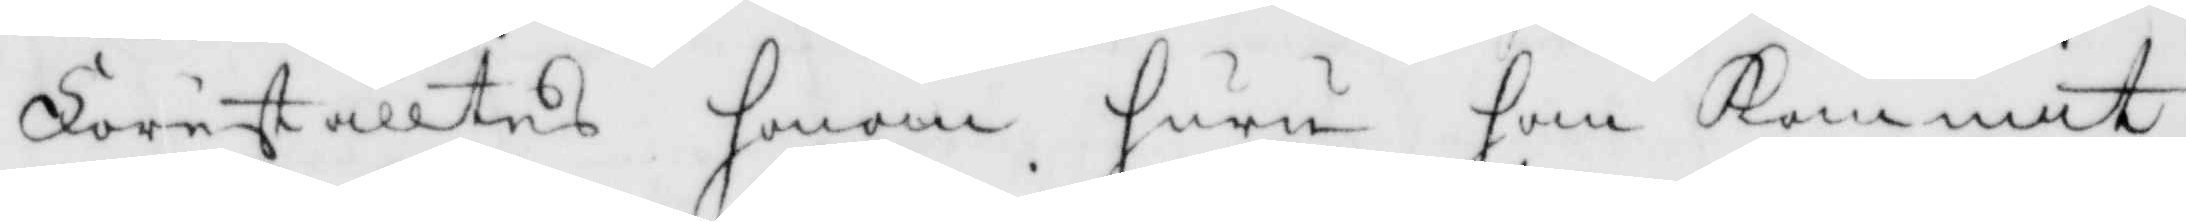Föreställtes honom huru han Kommit
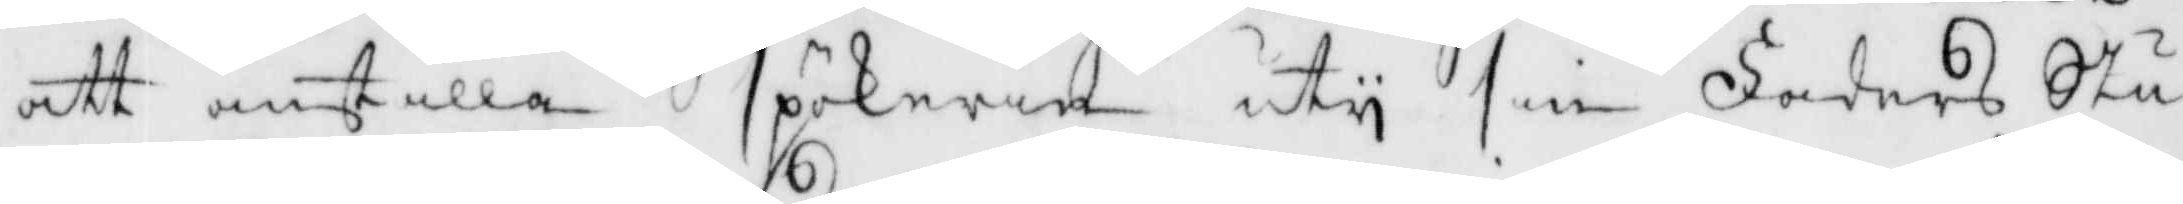att anställa spökerie uty sin Faders Stu¬
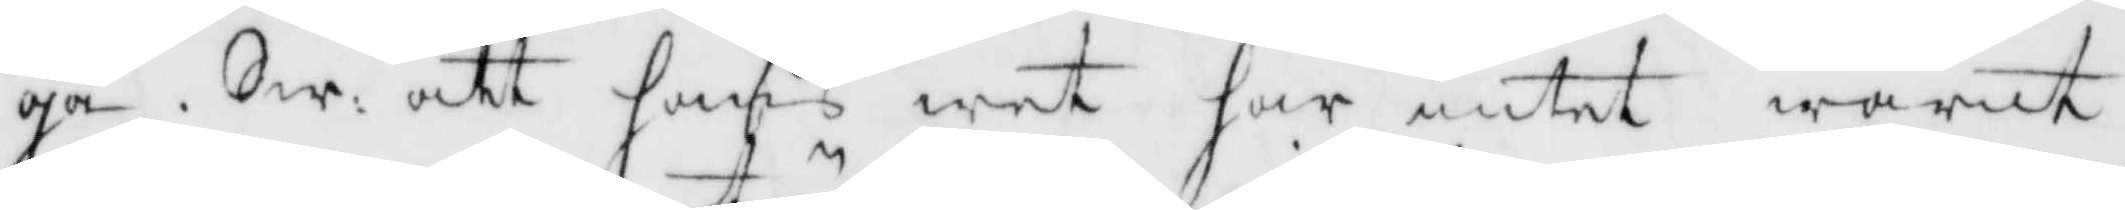ga. Sw: att hans wet har intet warit
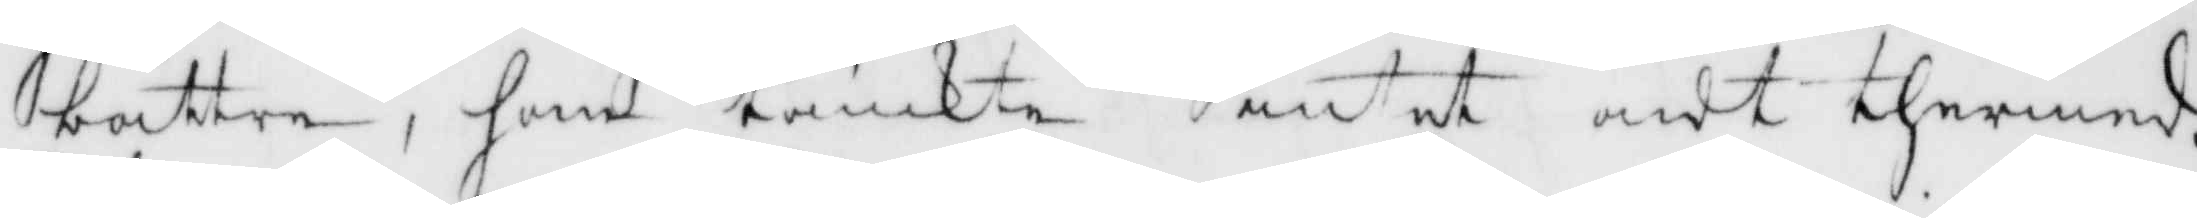bättre, han tänkte intet ondt thermed.
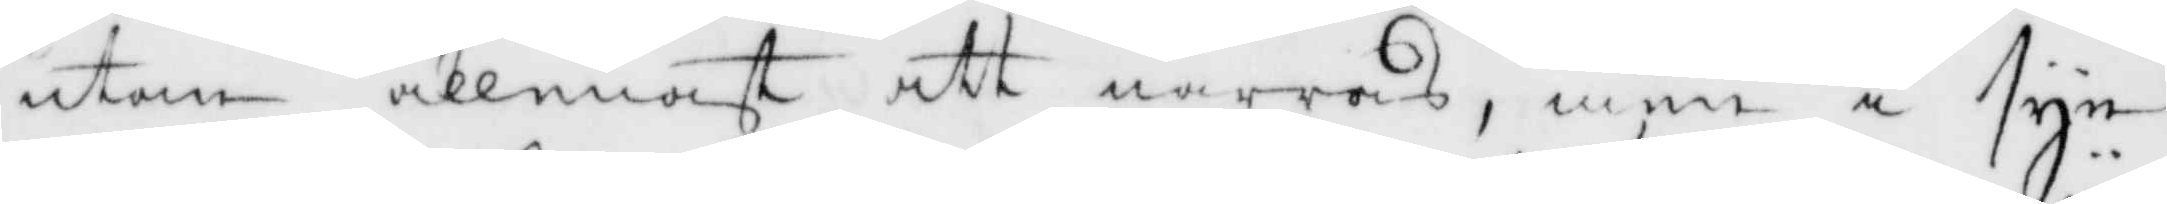utan allenast satt narras, men i syn¬
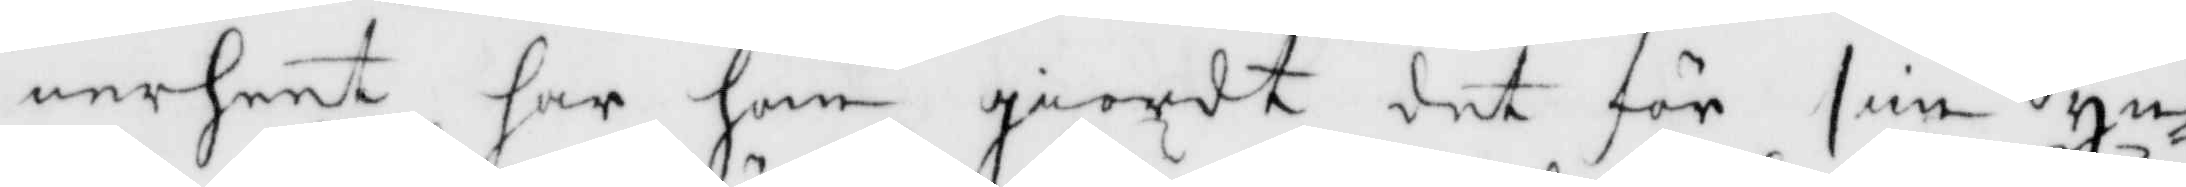nerheet har han giordt det för sin yn¬
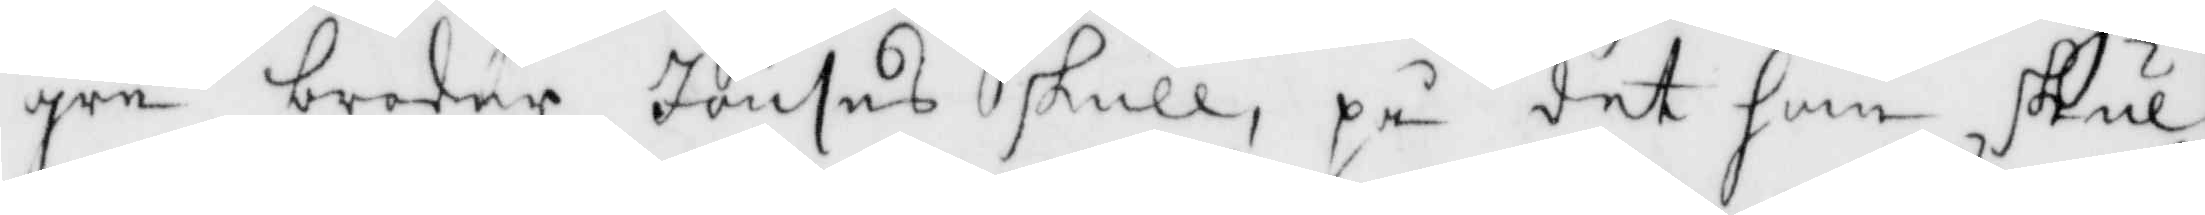gre broder Jönses skull, på det han skul¬
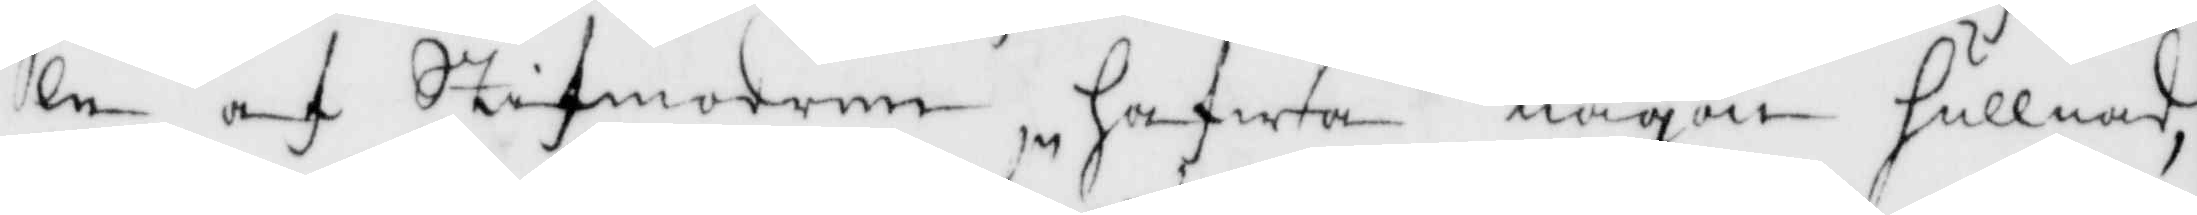le af Stifmodern hafwa någon hullnad,
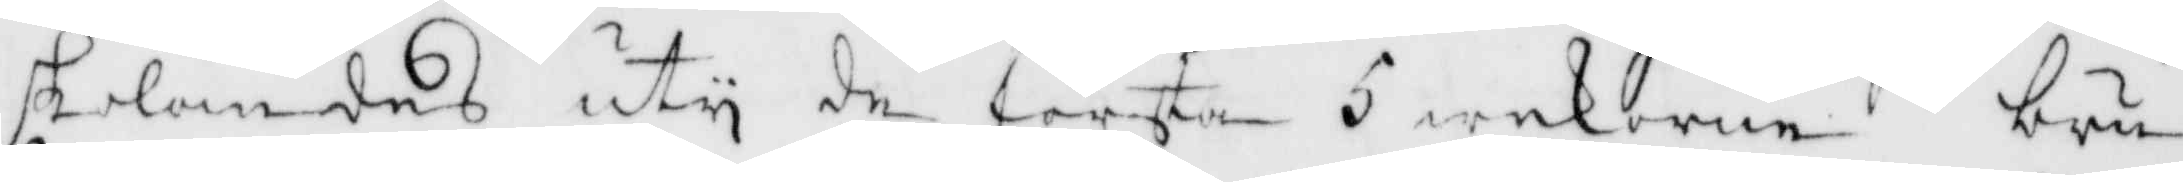skolandes uty de första 5 wekorne bru¬
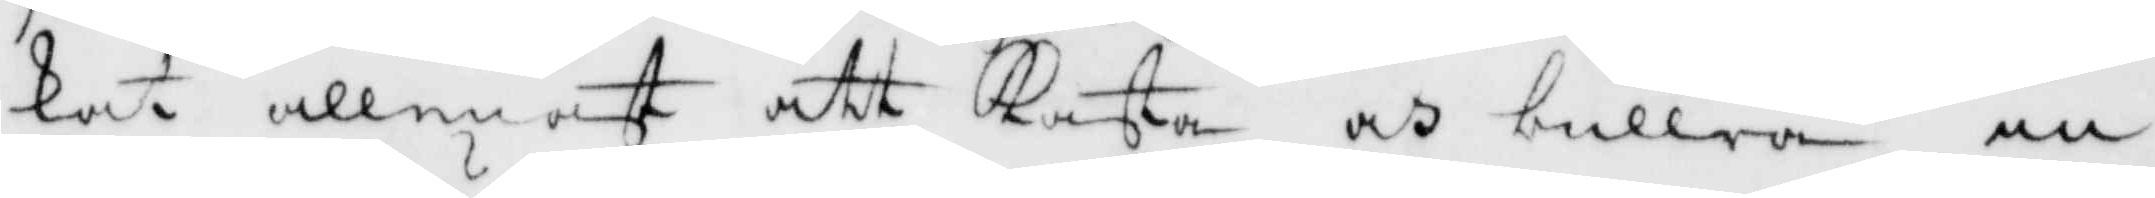kat allenast att Kasta och bullra in¬
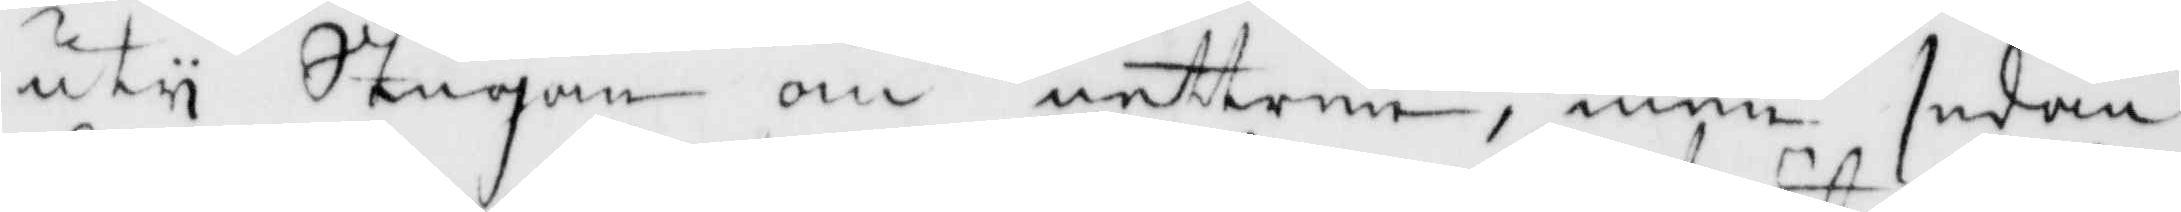uty sStugan om nettren, men sedan
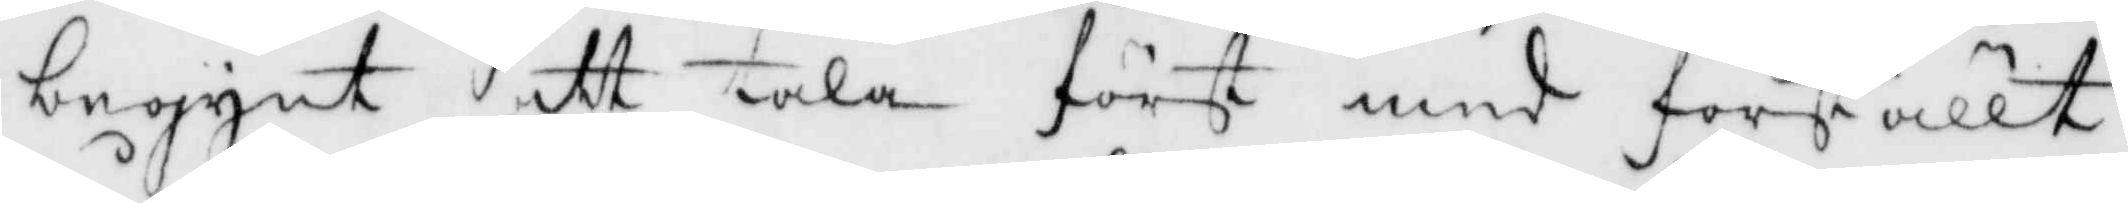begynt att tala först med förställt
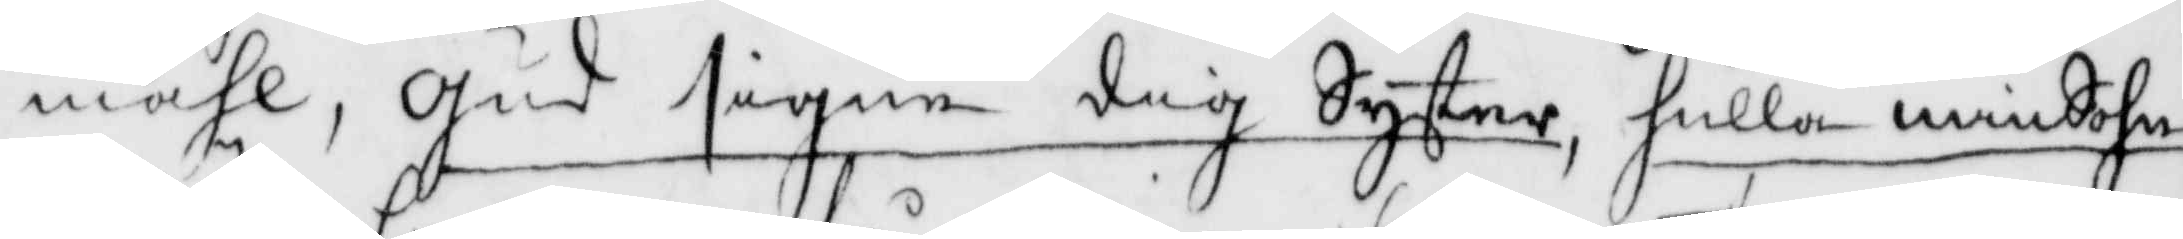måhl, Gud signe dig Syster, hulla min Sohn
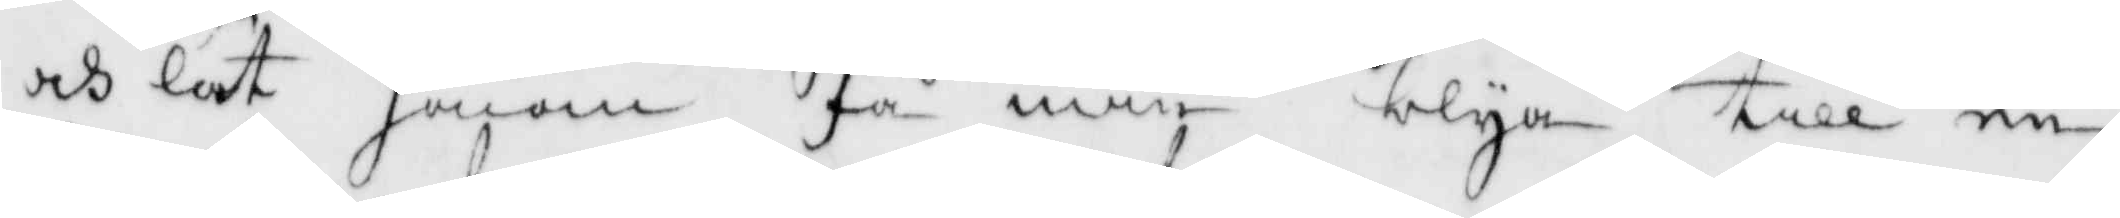och lät honom få min blya till en
